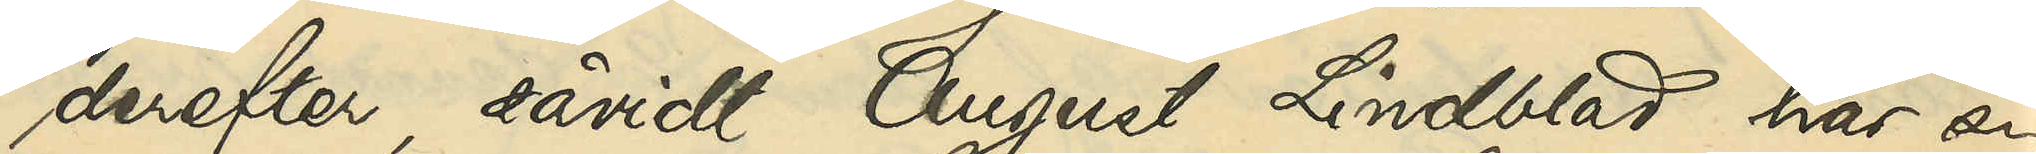derefter, såvidt August Lindblad har sig
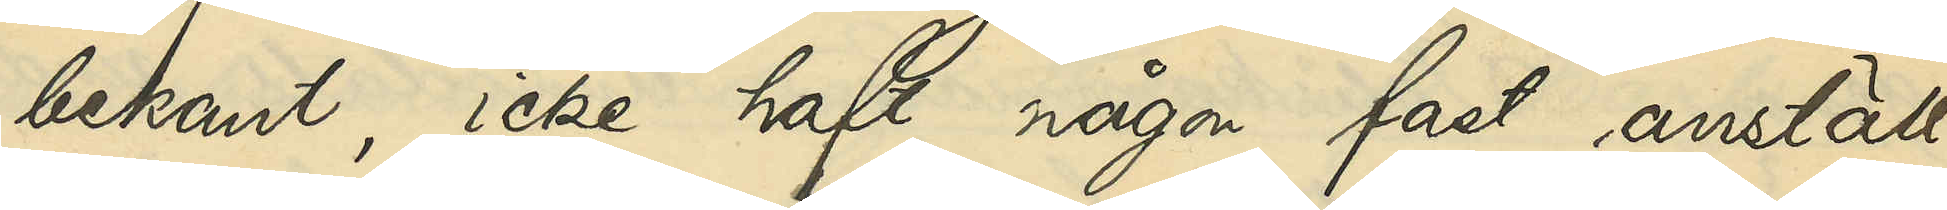bekant, icke haft någon fast anställ¬
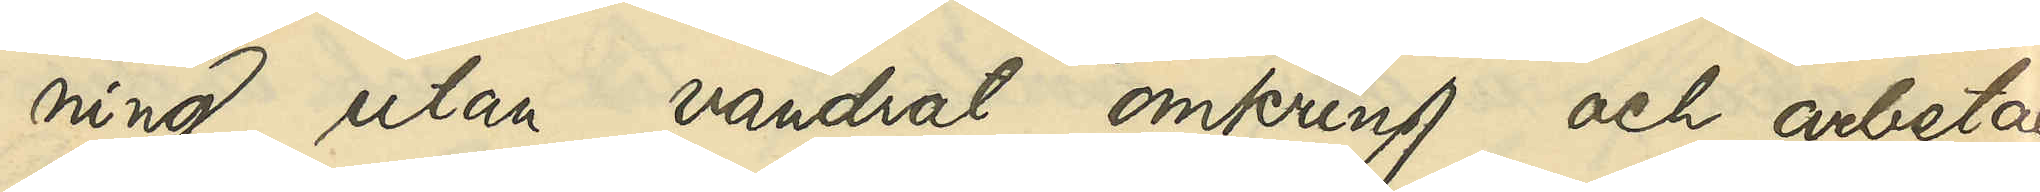ning utan vandrat omkring och arbetat
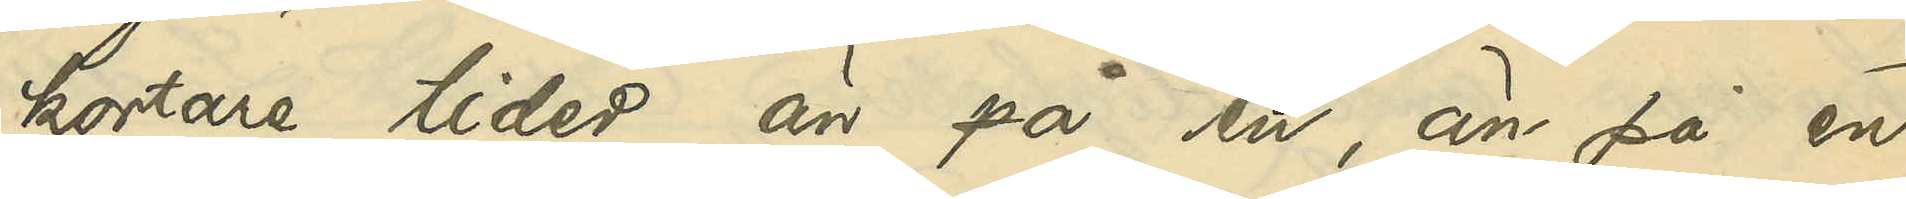kortare tider än på en, än på en
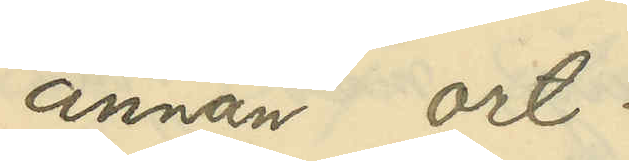annan ort.
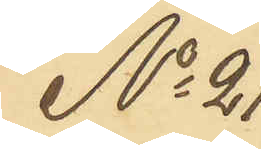No 21
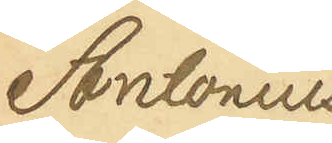Antonius
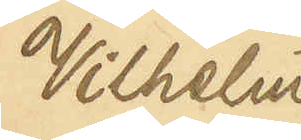Vilhelm
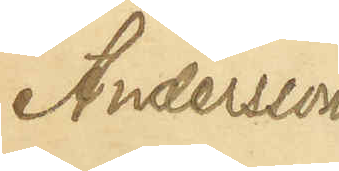Andersson
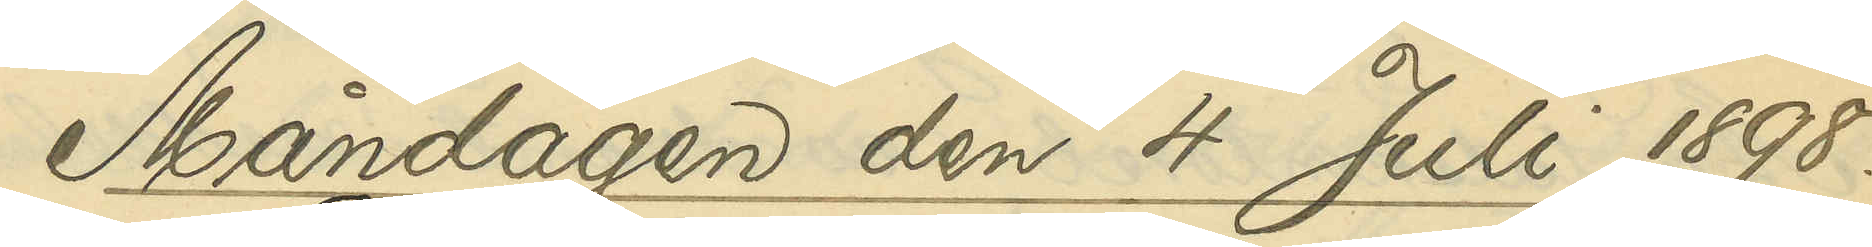Måndagen den 4 Juli 1898
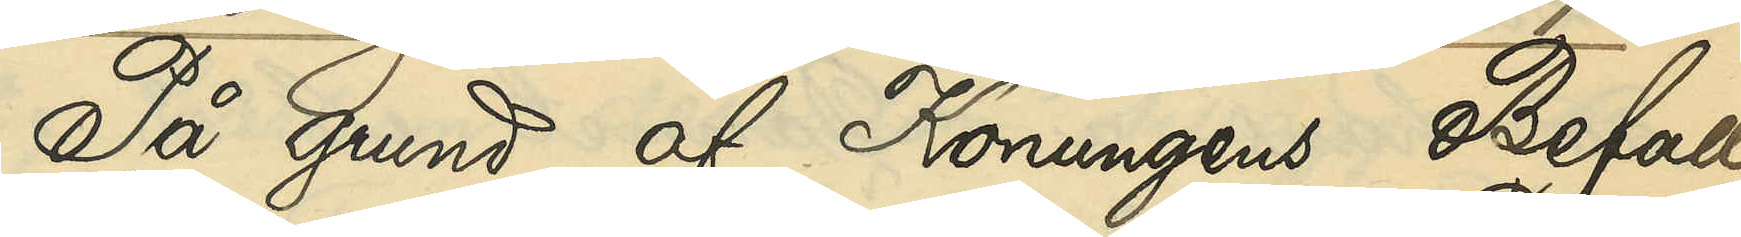På grund af Konungens Befall¬
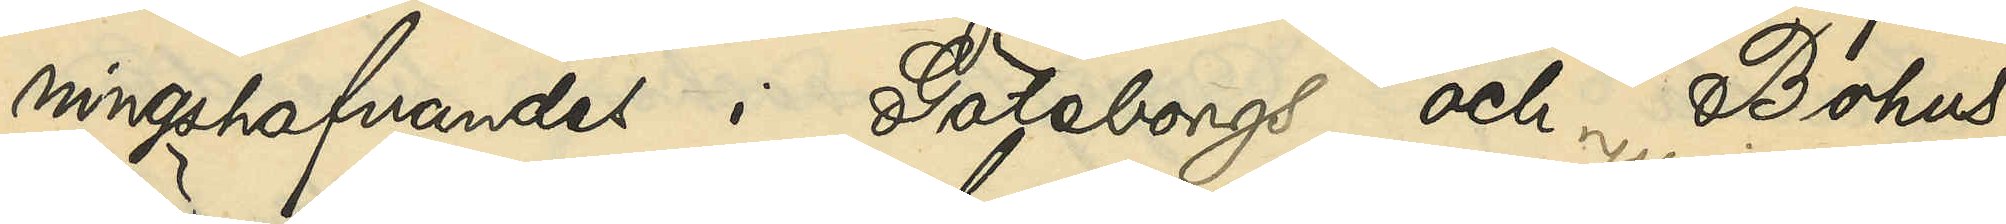ningshafvandes i Göteborgs och Bohus
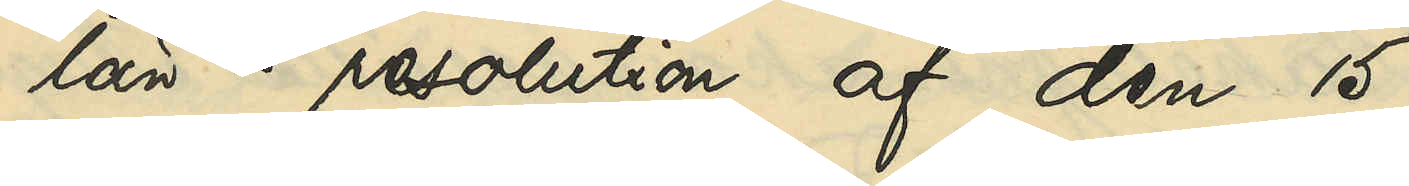län resolution af den 15
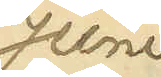Juni,
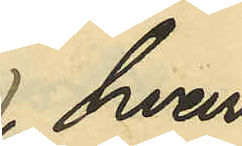hvari¬
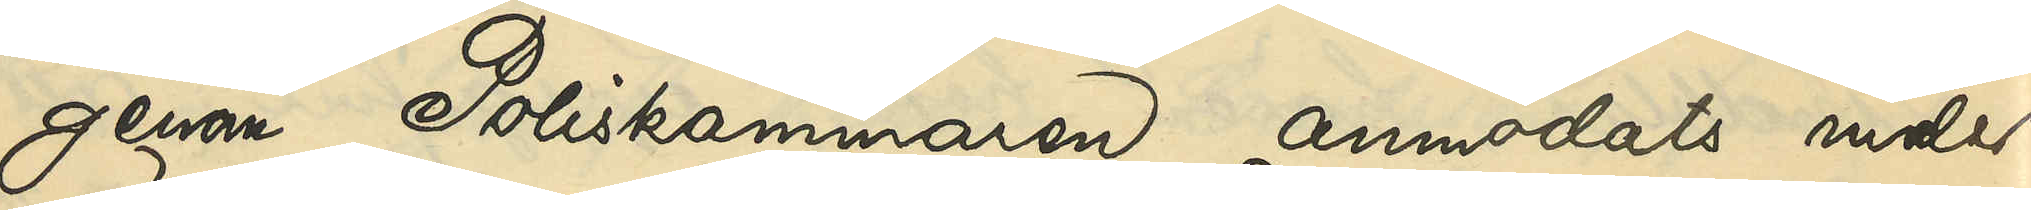genom Poliskammaren anmodats under¬
